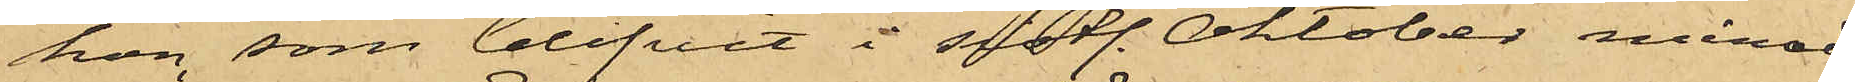hon, som blifvit i sistl. Oktober månad
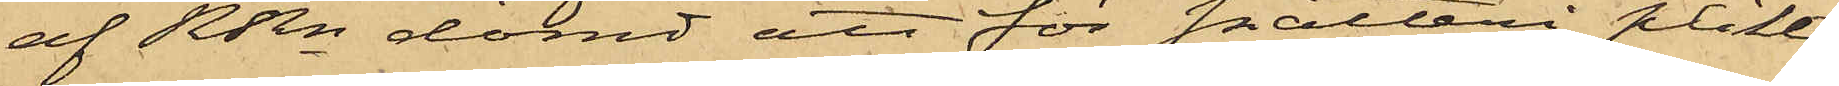af RRn dömd att för snatteri plikta
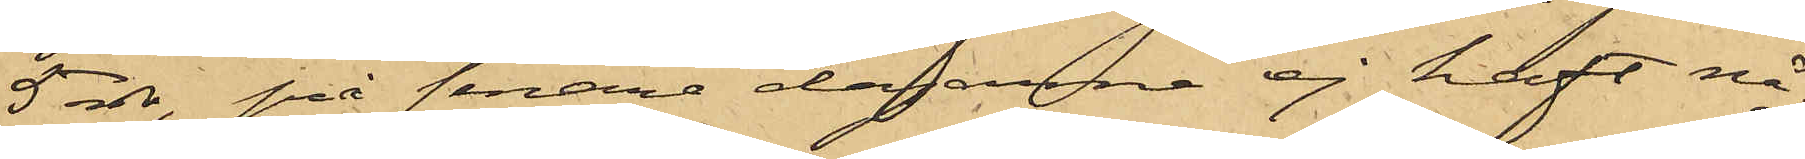5 rdr, på senare dagarne ej haft nå¬
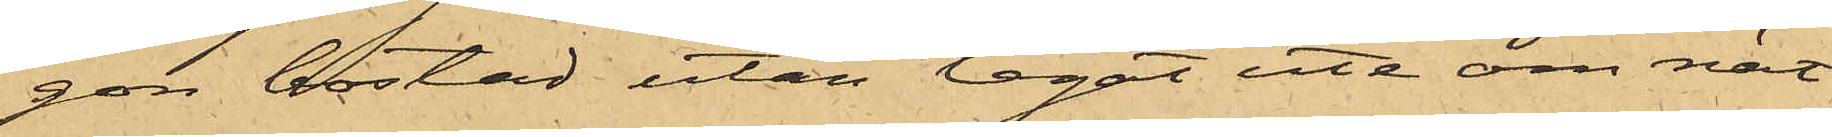gon bostad utan legat ute om nät¬
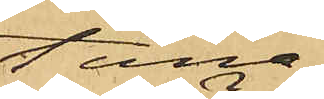terna.
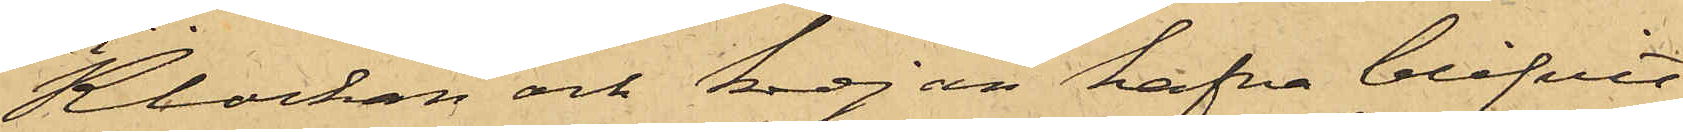Klockan och kedjan hafva blifvit
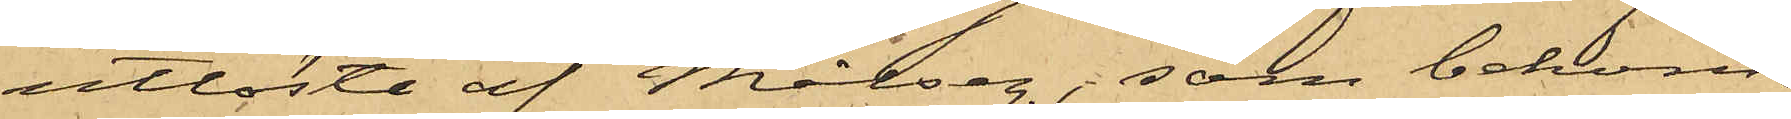utlöste af Målseg., som bekom¬
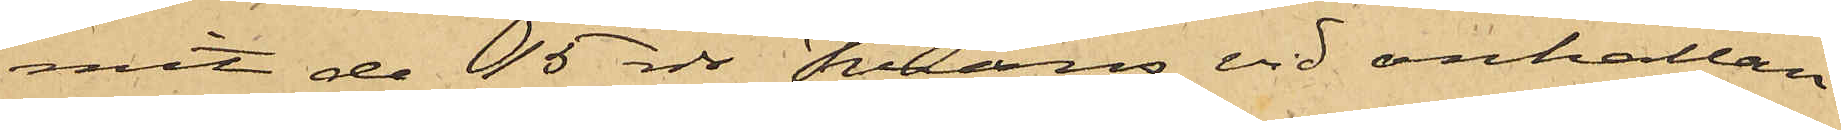mit de 15 rdr Krans vid anhållan¬
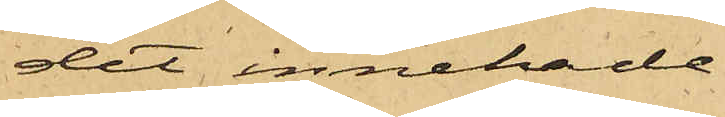det innehade.
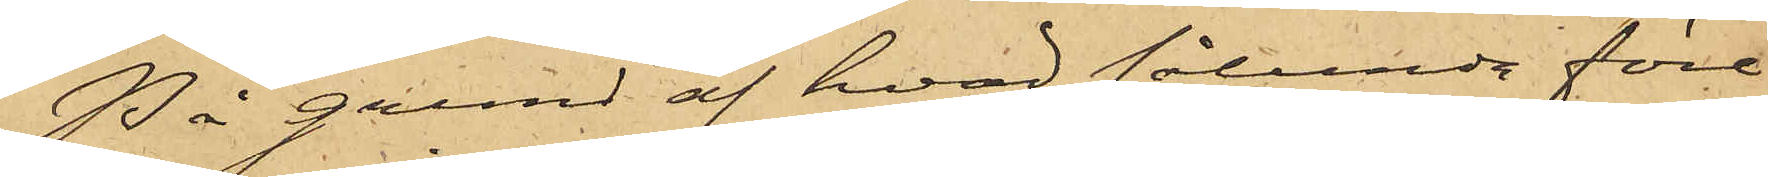På grund af hvad sålunda före¬
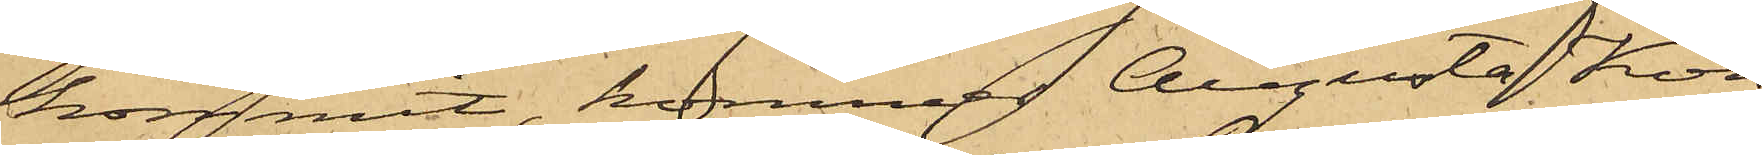kommit, kommer Augusta Kon¬
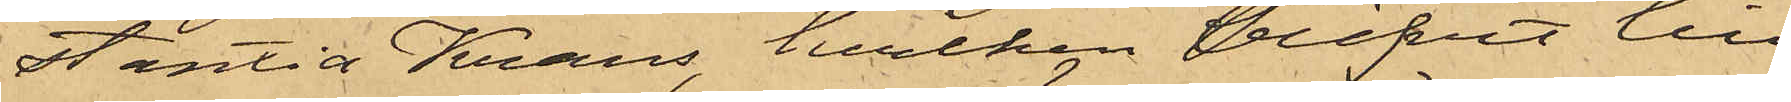stantia Krans, hvilken blifvit till
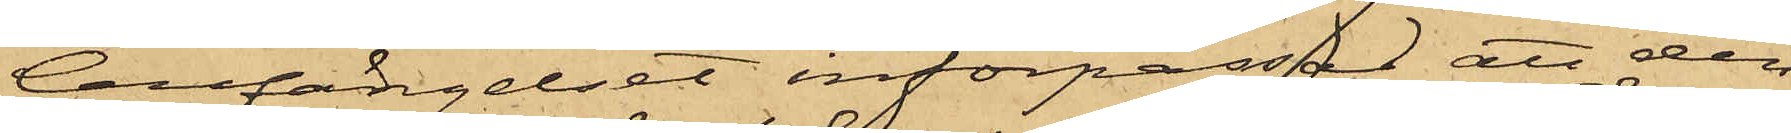Cellfängelset införpassad, att den¬
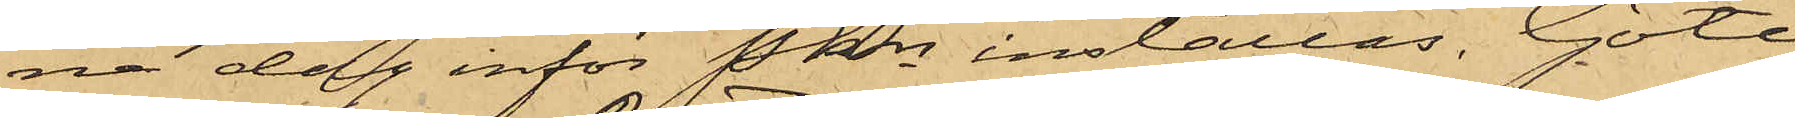na dag inför Pkn inställas. Göte¬
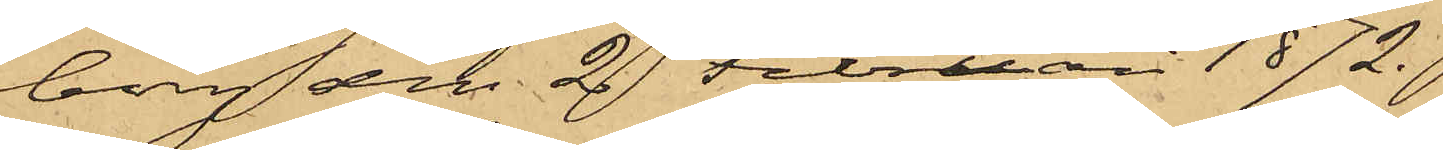borg den 2 Februari 1872.
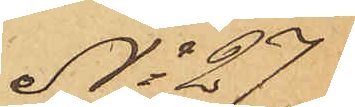No 27
